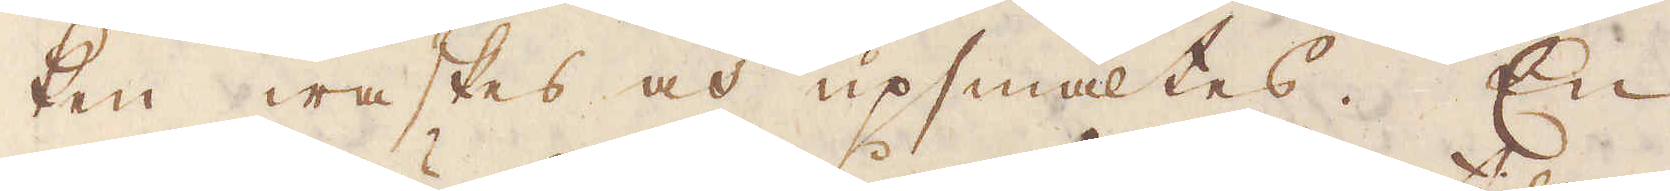ken waskas och upsmältes. En
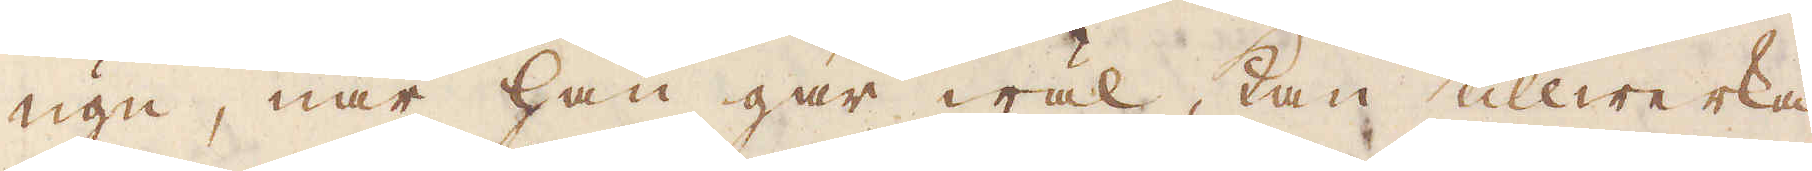ugn, när han går wäl, kan tillwerka
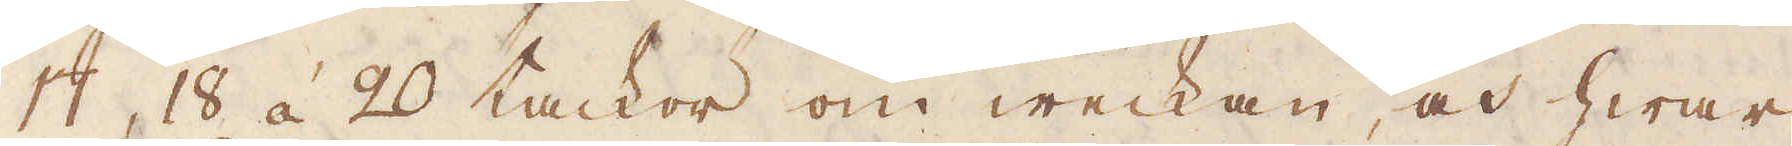17, 18 á 20 tackor om weckan, och hwar
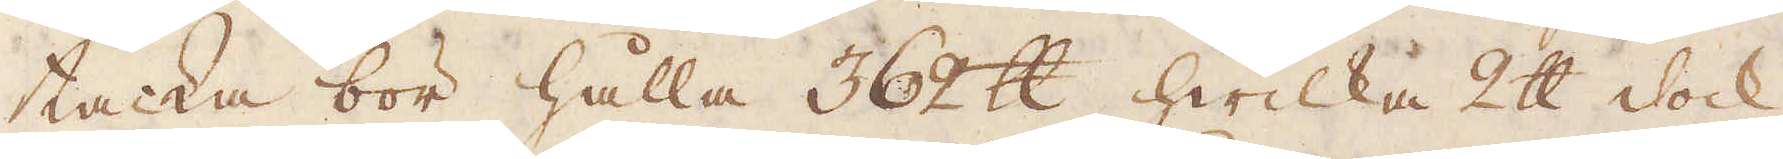tacka bör hålla 362 skålpund, hwilka 2 skålpund dock
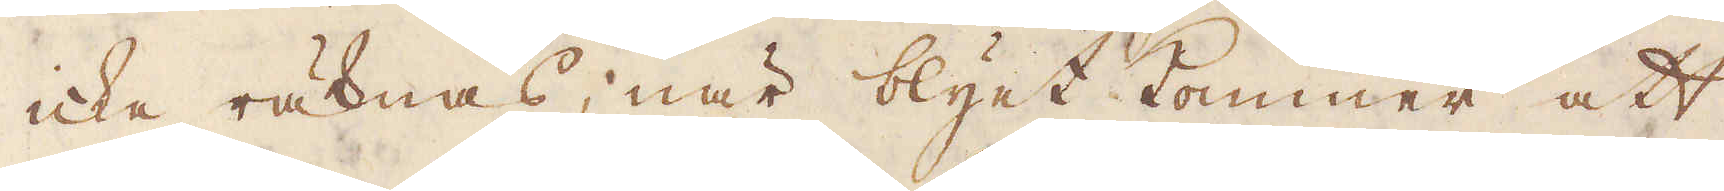icke räknas; när blyet kommer att
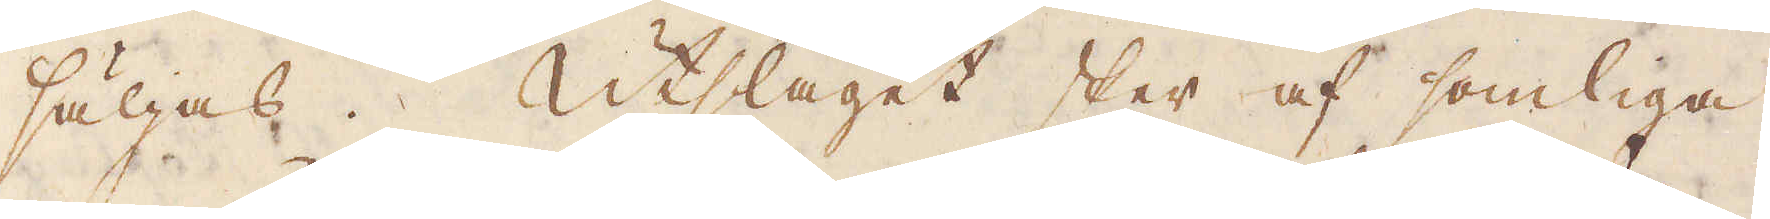säljas. Utslaget sker af somliga
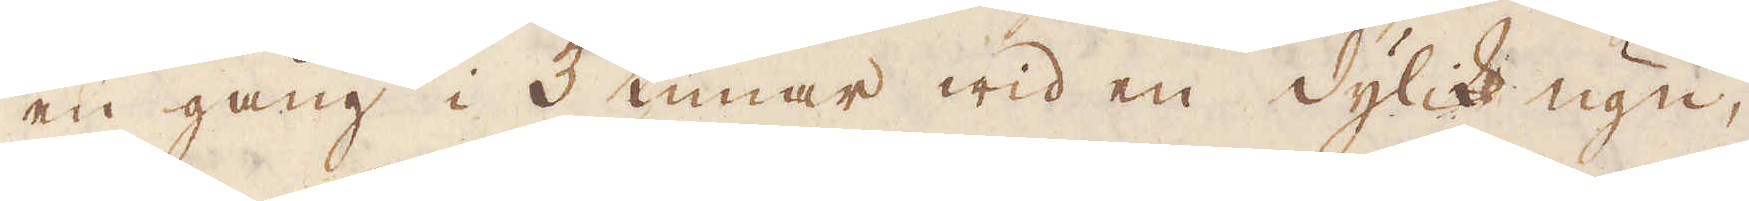en gång i 3 timar wid en dylik ugn,
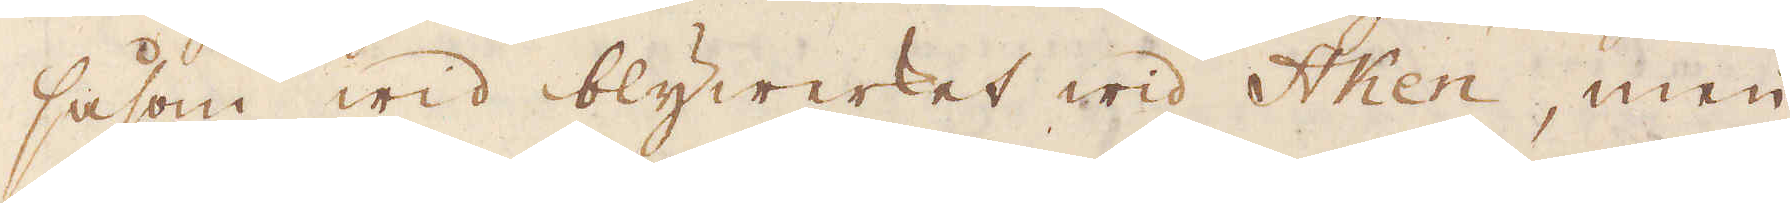såsom wid blywerket wid Aken, men
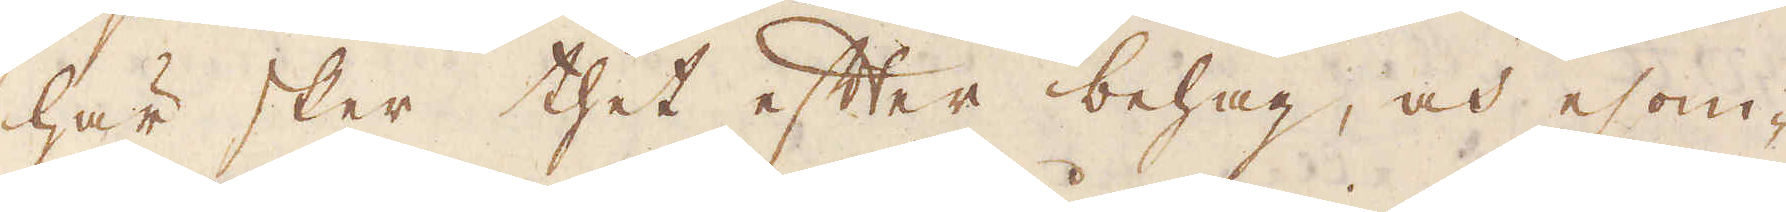här sker thet efter behag, och esom-
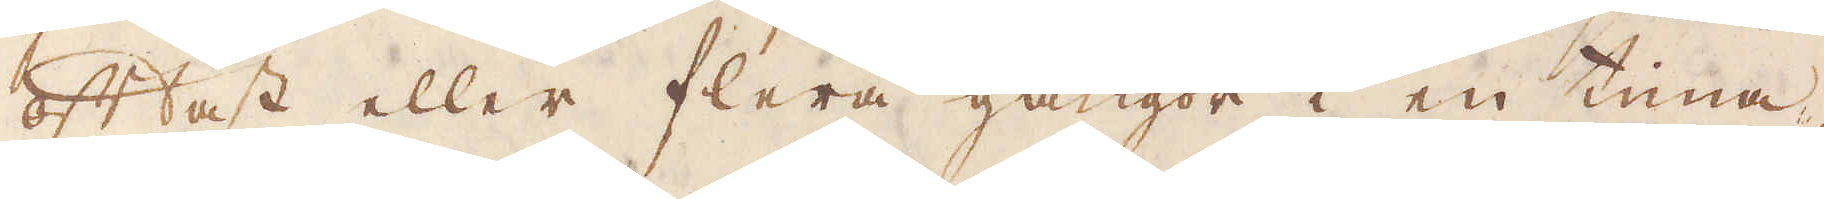oftast eller flera gångor i en tiena,
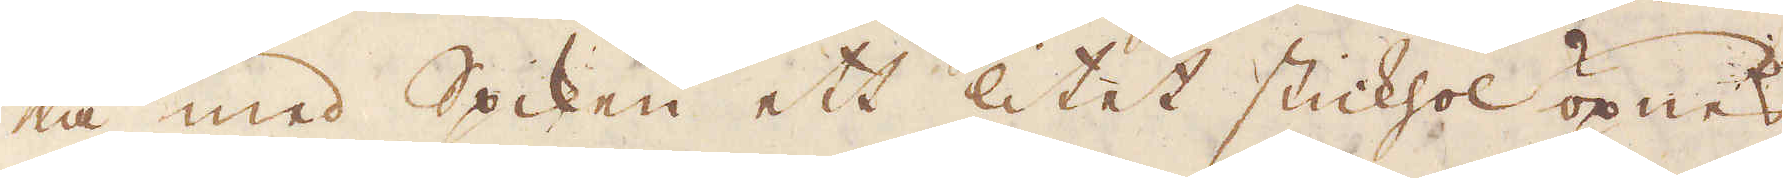tå med Spiken ett litet stickhol öpnas
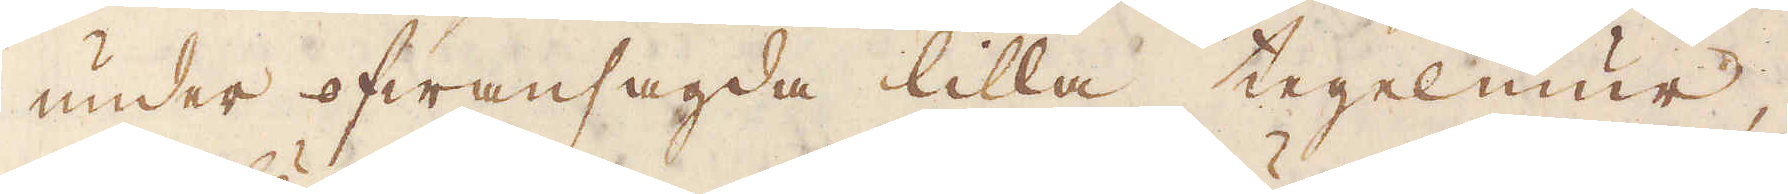under ofwansagda lilla tegelmur,
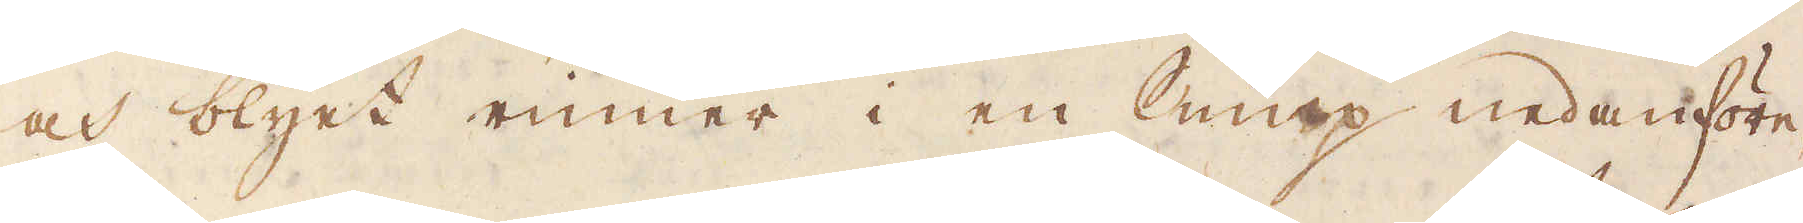och blyet rinner i en Sump nedanföre, 
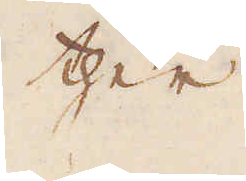ther
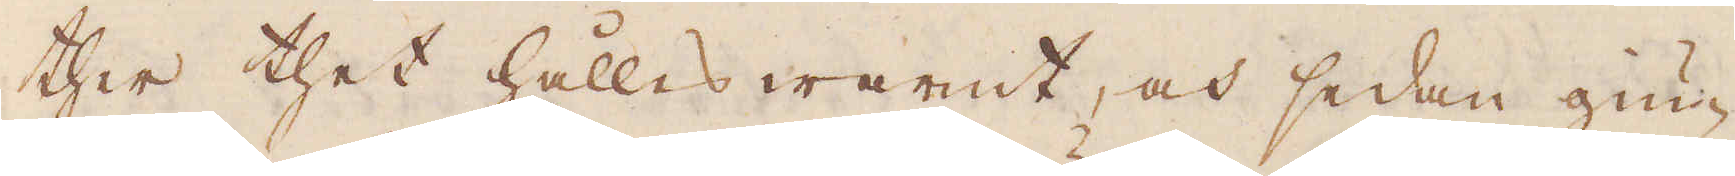ther thet hålles warmt, och sedan giu-
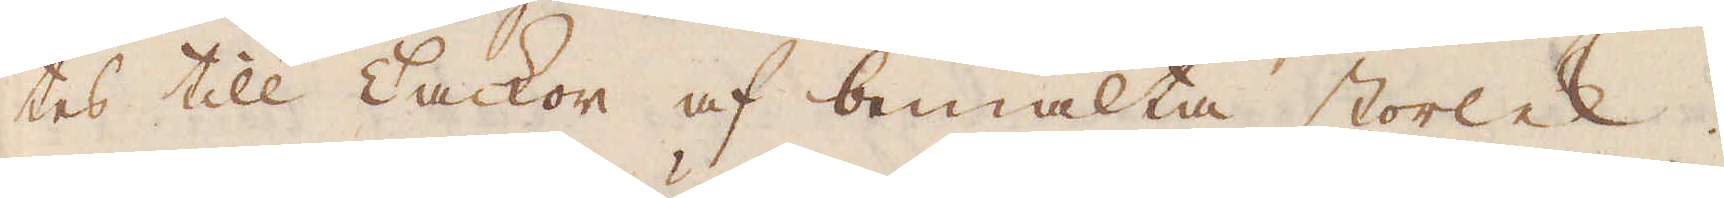tes till Tackor af bemälta storlek.
